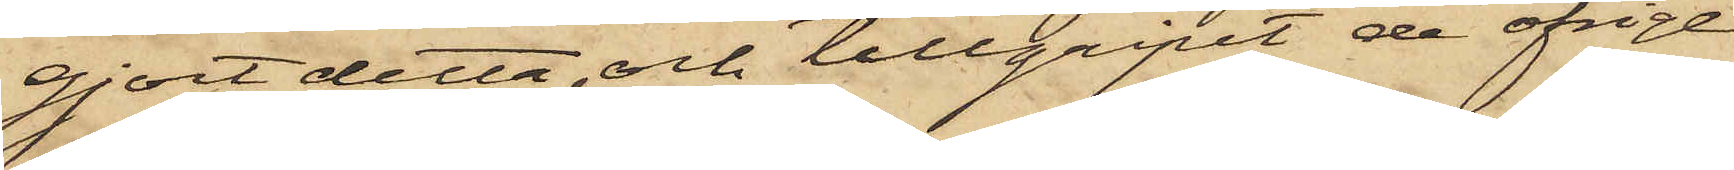gjort detta och tillgripit de öfrige
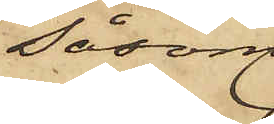såsom
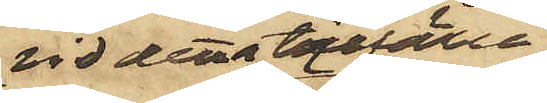vid detta tillfälle
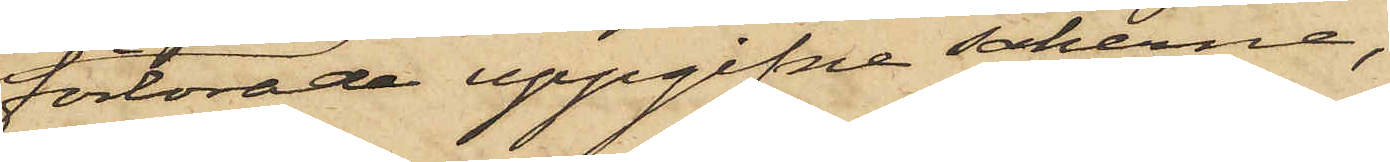förlorade uppgifne sakerna;
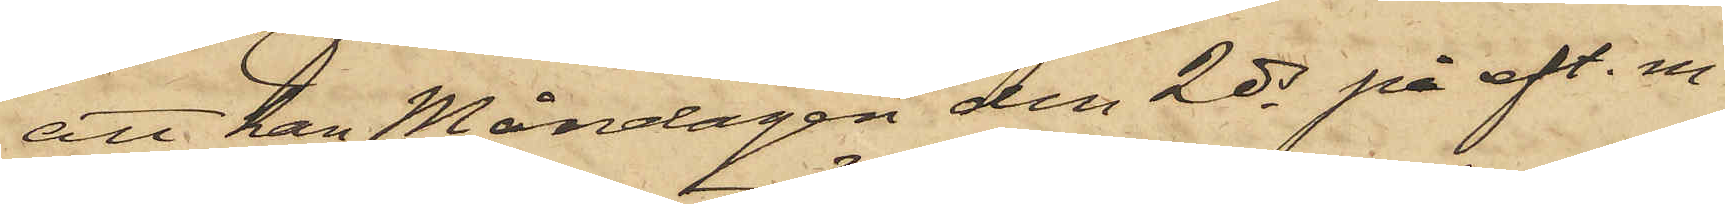att han Måndagen den 2 ds på eft. m.
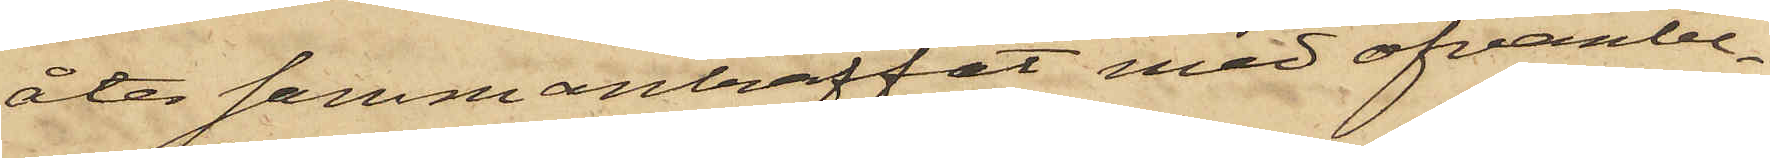åter sammanträffat med ofvanbe¬
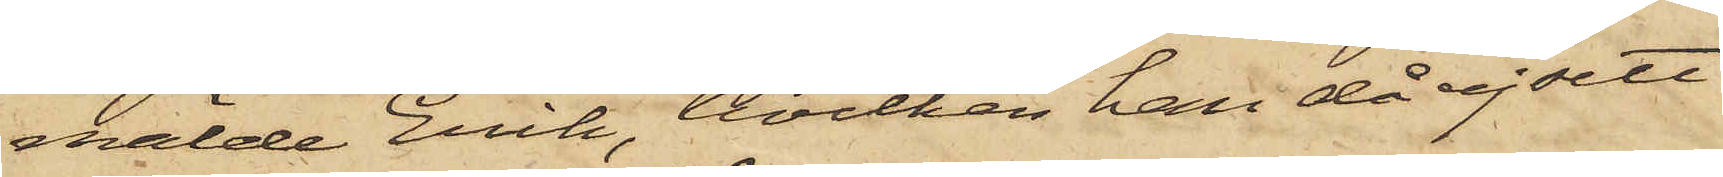mälde Erik, hvilken han då ej sett
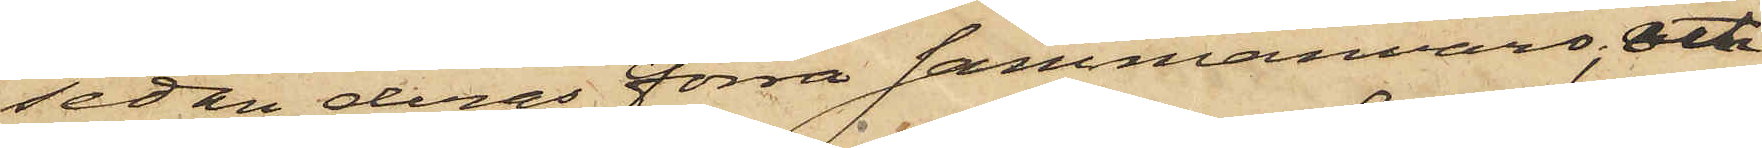sedan deras förra sammanvaro; och
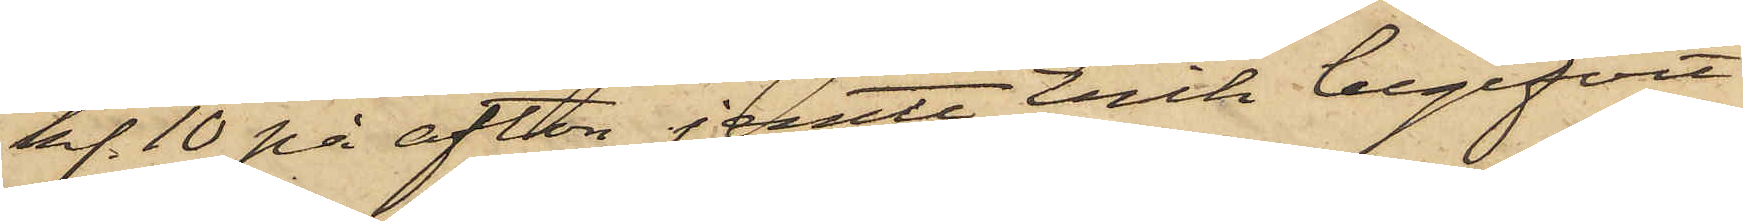kl. 10 på afton jemte Erik begifvit
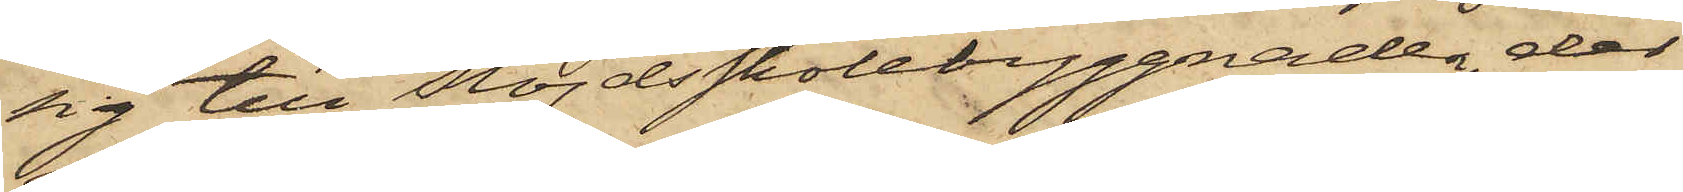sig till Slöjdsskolebyggnaden, der
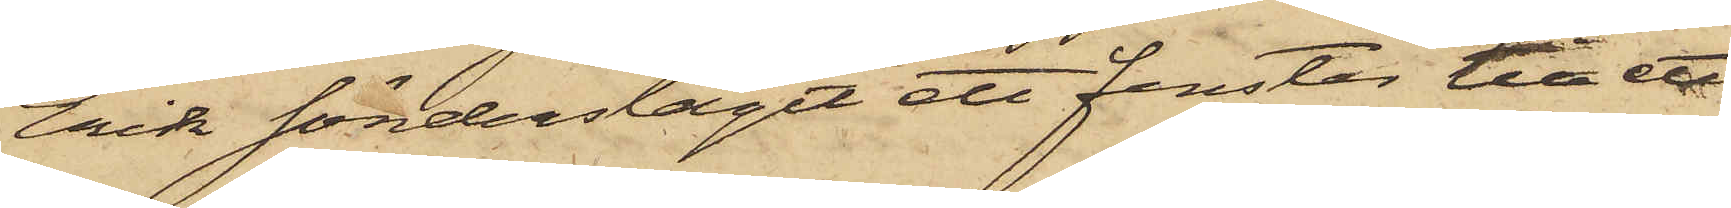Erik sönderslagit ett fenster till ett
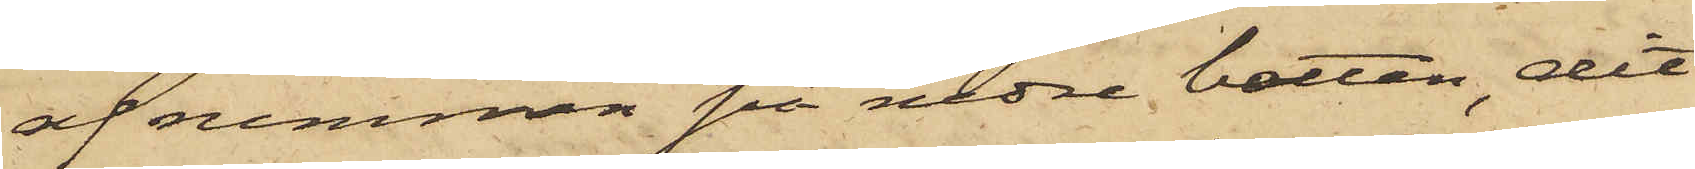af rummen på nedre botten, dit
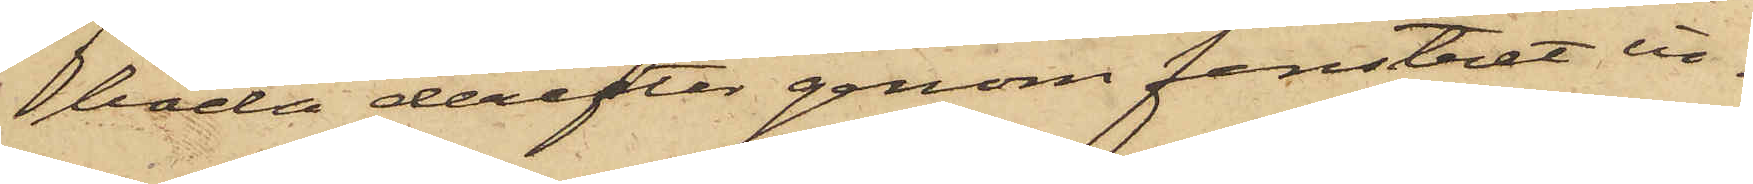båda derefter genom fenstret in¬
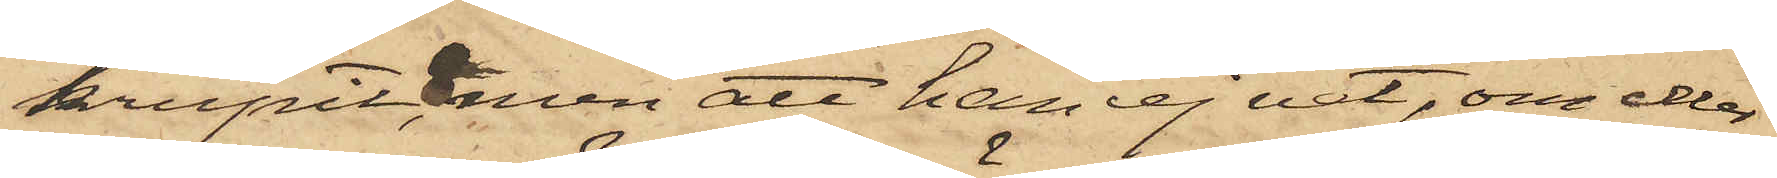krupit, men att han ej vet, om eller
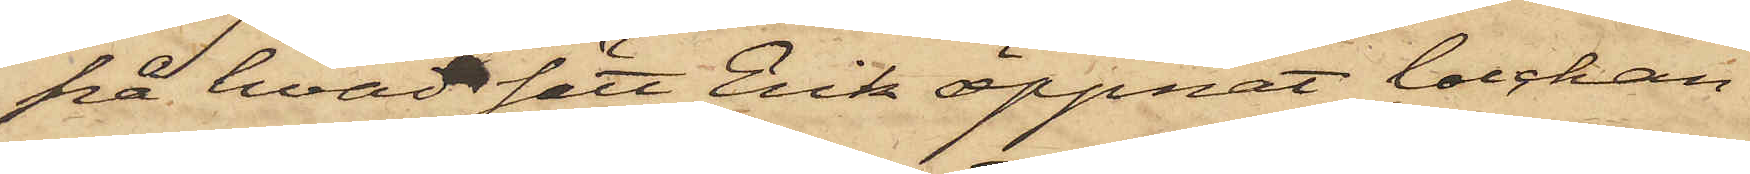på hvad sätt Erik öppnat luckan
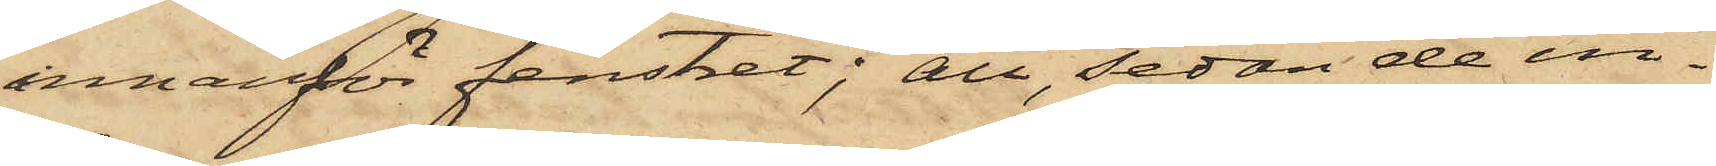innanför fenstret; att sedan de in¬
